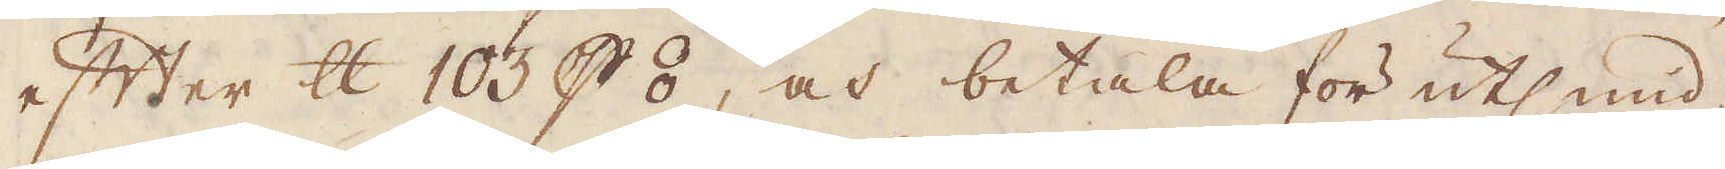efter skålpund 103 p ⦂, och betala för utsmid-
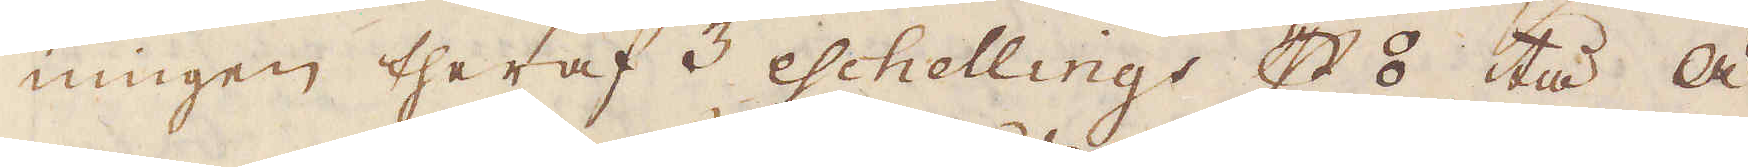ningen theraf 3 eschellings p ⦂, tå ä-
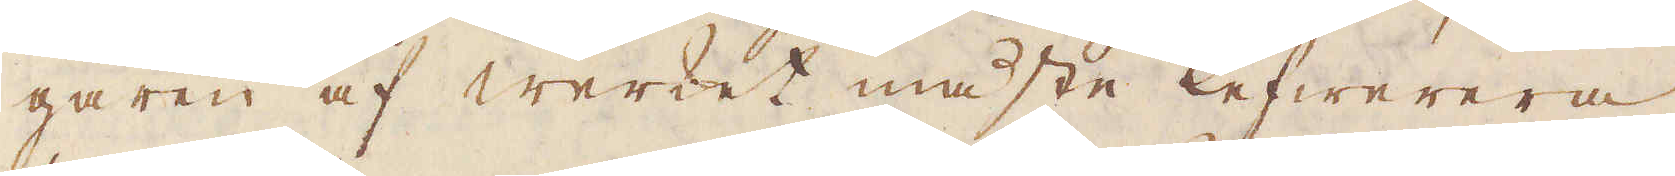garen af werket måste lefwerera
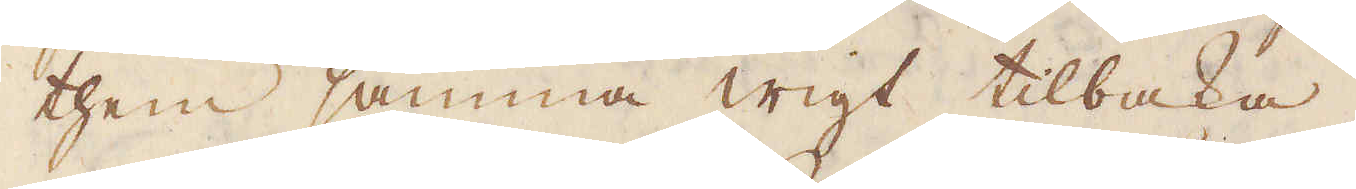them samma wigt tillbaka.
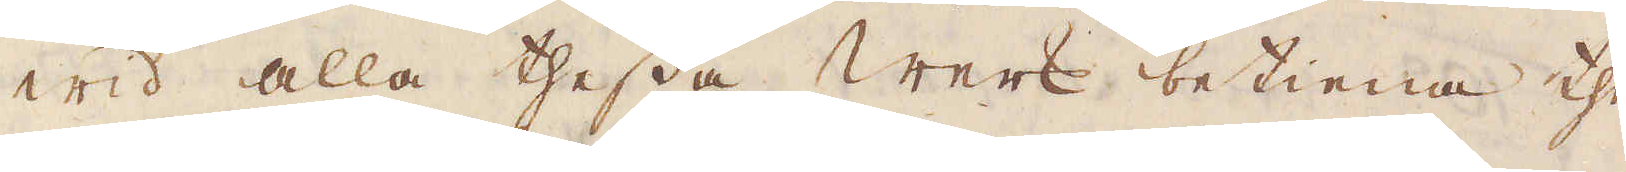wid alla thessa werk betiena the
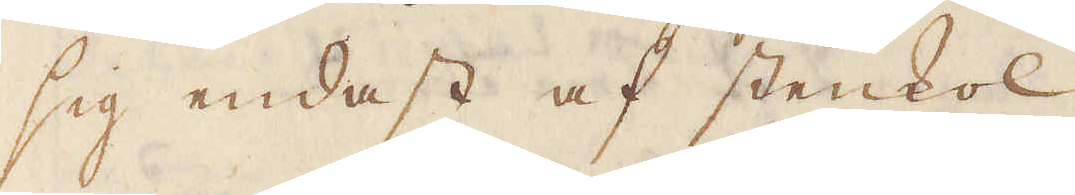sig endast af stenkol.
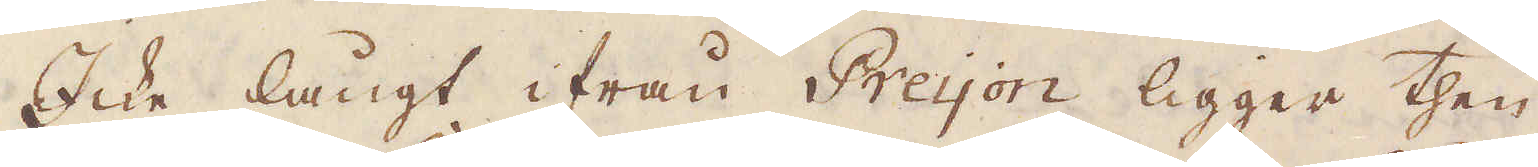Icke långt ifrån Preyon ligger then
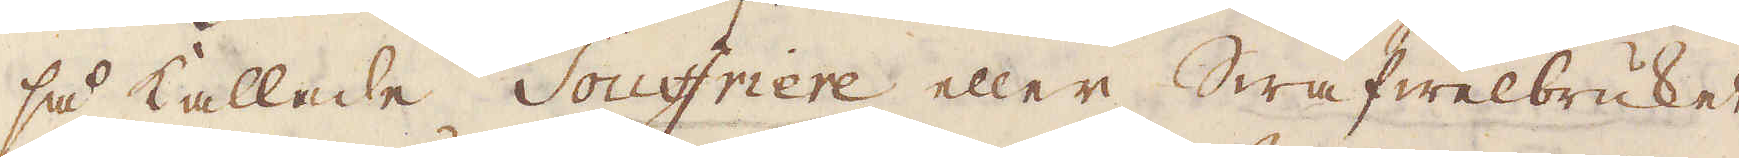så kallade Souffriere eller Swafwelbruket,
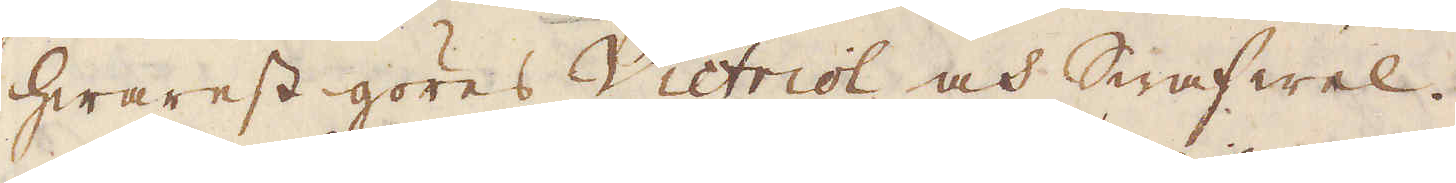hwarest göres Victriol och swafwel.
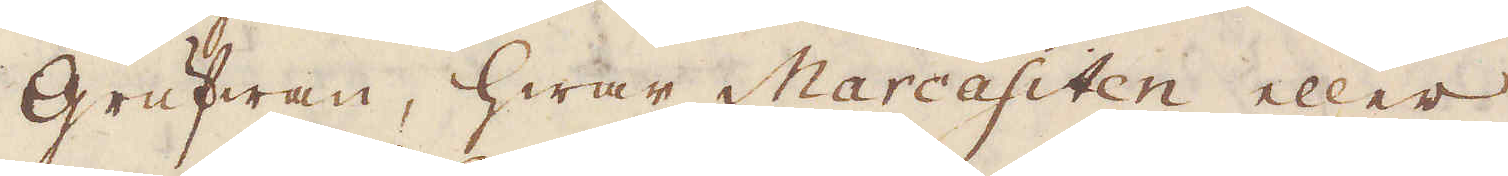Grufwan, hwar Marcasiten eller
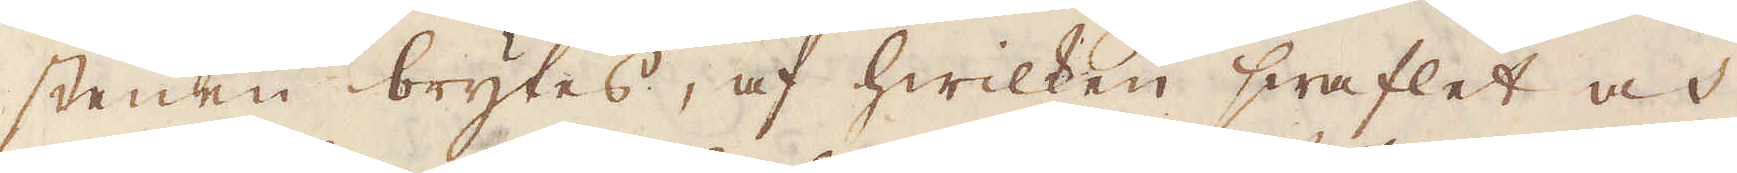stenen brytes, af hwilken swaflet och
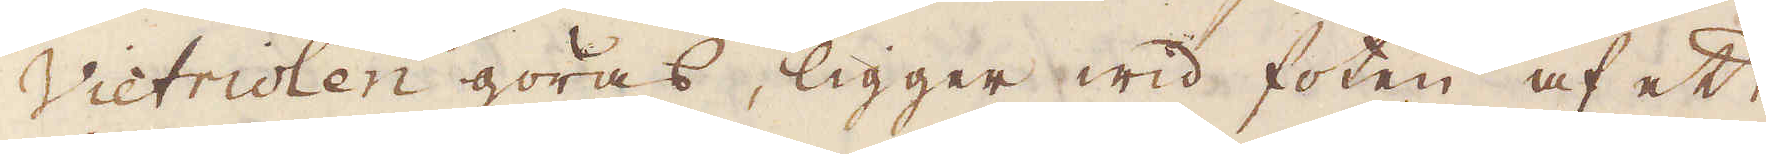Victriolen göras, ligger wid foten af ett
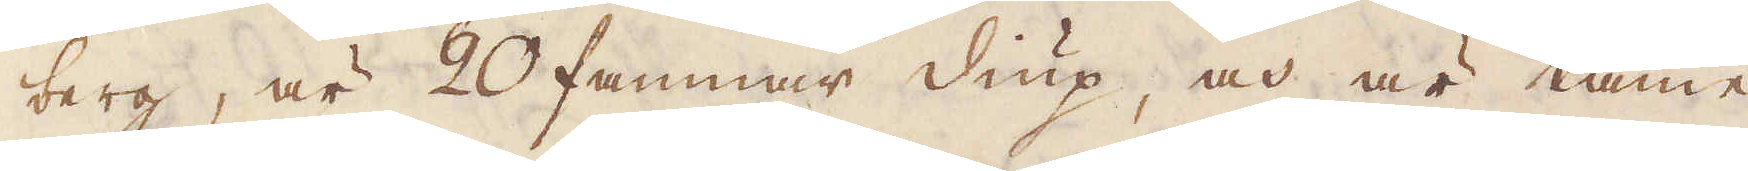berg, är 20 famnar diup, och är tämme-
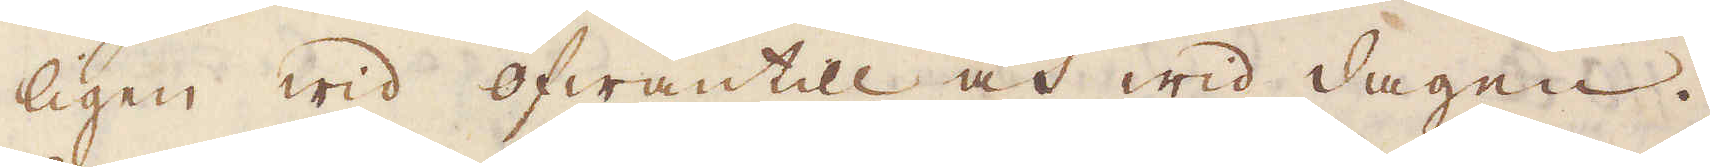ligen wid ofwantill och wid dagen.
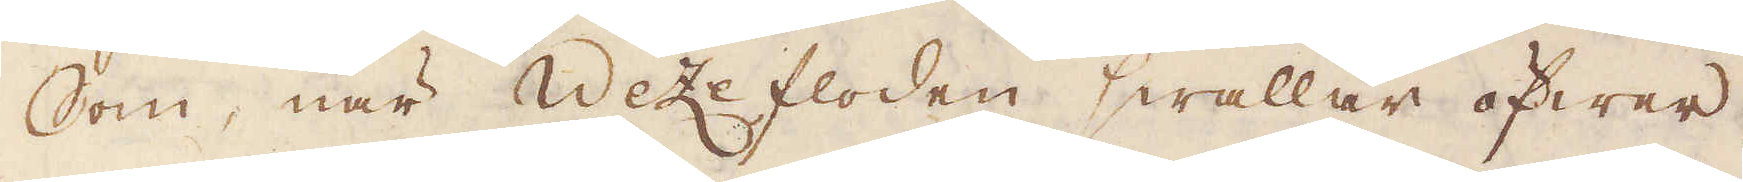Som, när Wezefloden swallar öfwer,
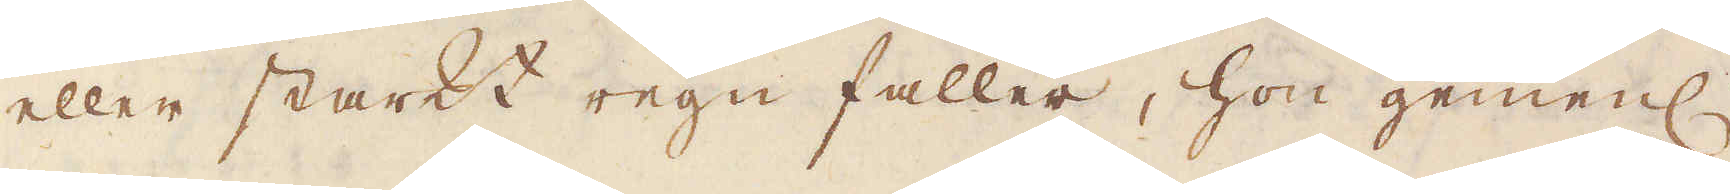eller starkt regn faller, hon gemenl.
